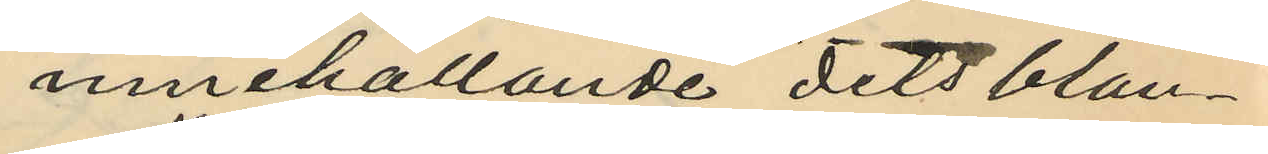innehållande dels blan¬
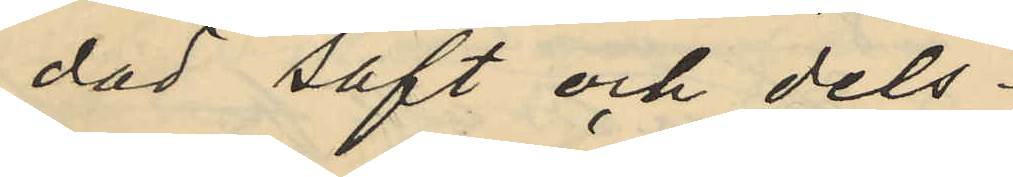dad saft och dels
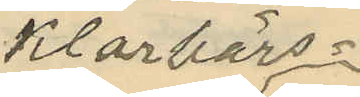klarbärs¬
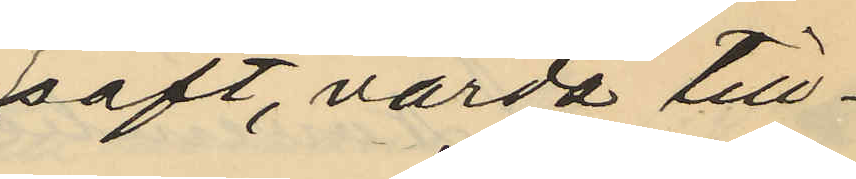saft, värda till¬
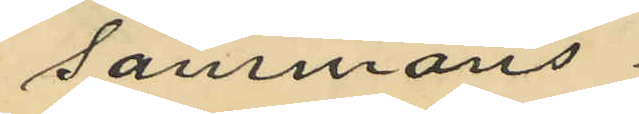sammans
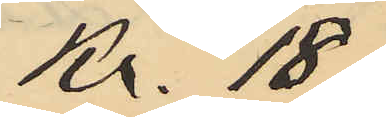Kr. 18
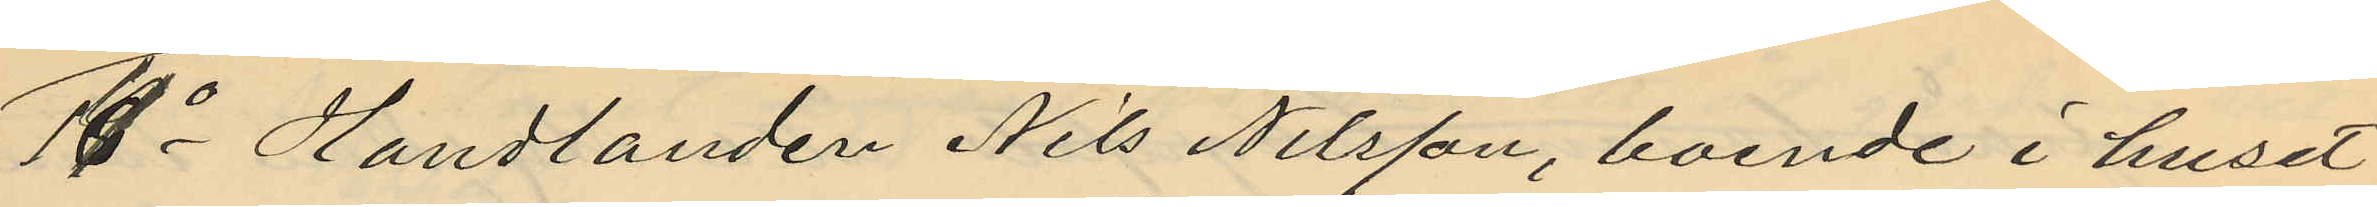14o Handlanden Nils Nilsson, boende i huset
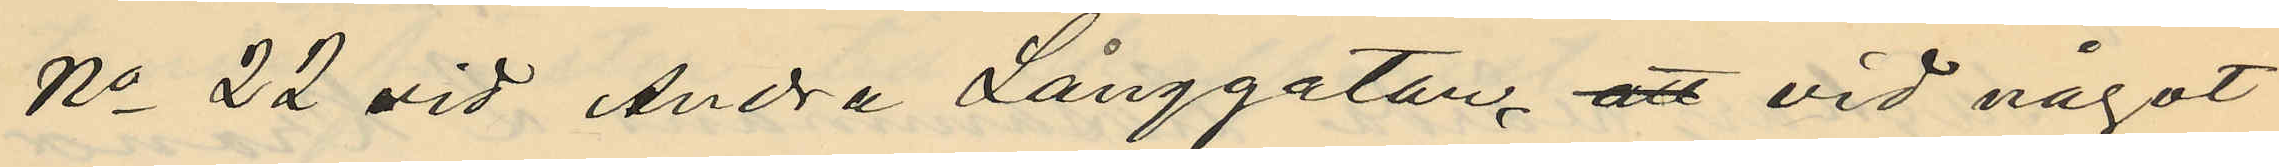No 22 vid Andra Långgatan, att vid något
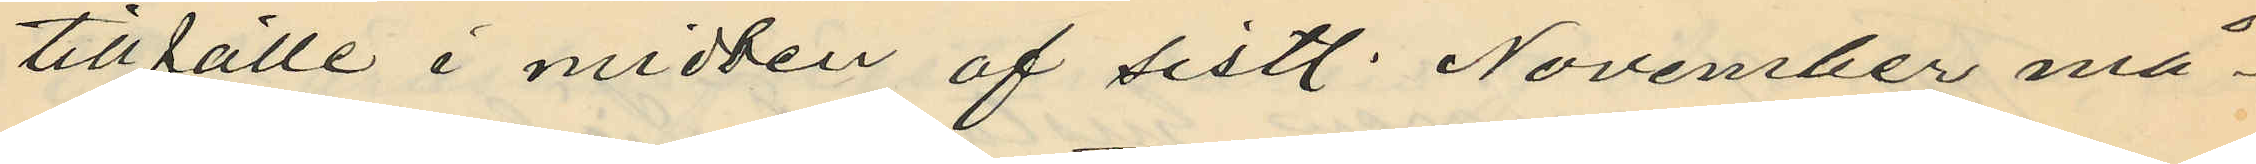tillfälle i midten af sistl. November må¬
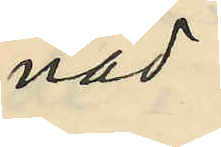nad
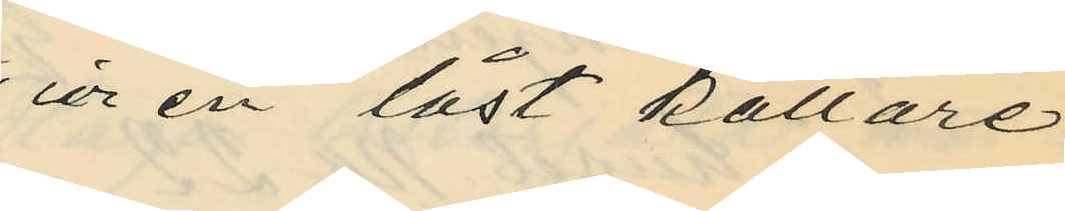ur en låst källare
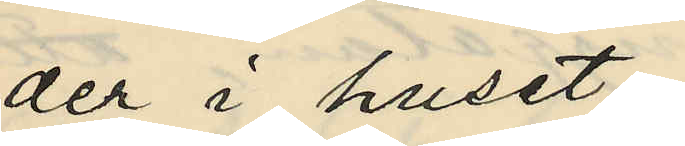der i huset
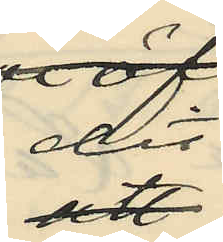dit
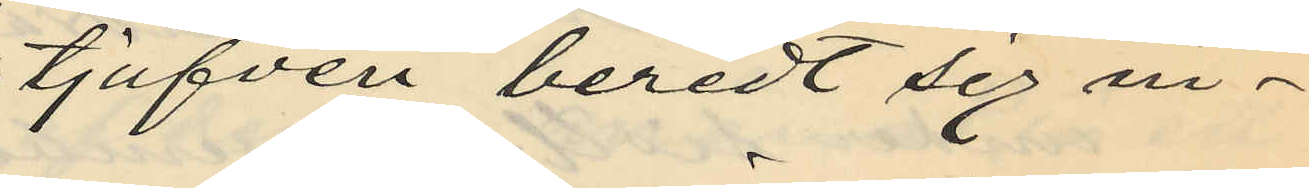tjufven beredt sig in¬
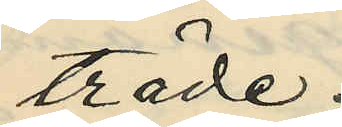träde
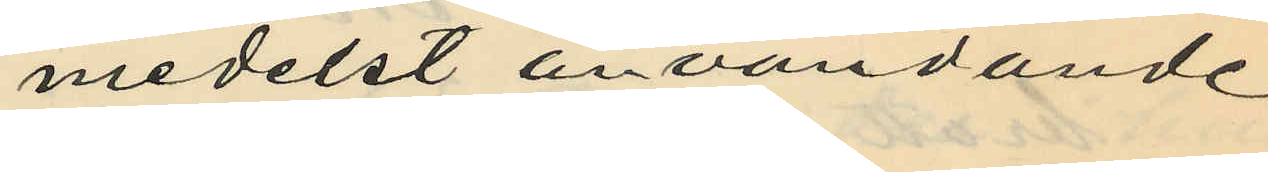medelst användande
